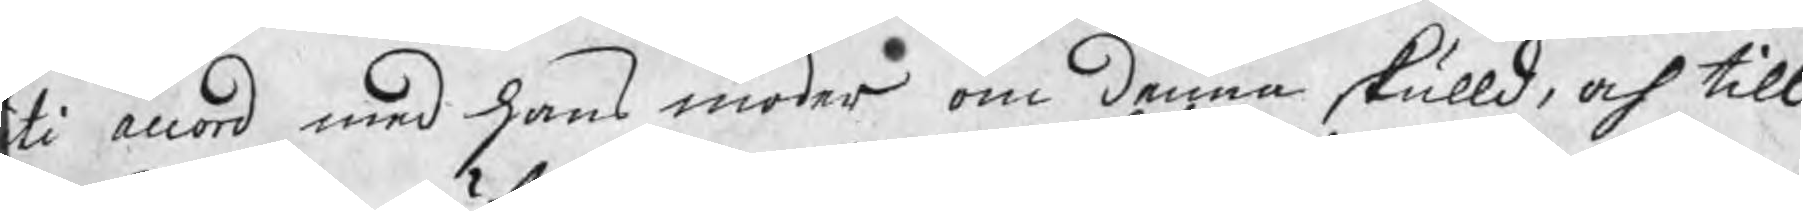ti accord med hans moder om denna skulld, och till
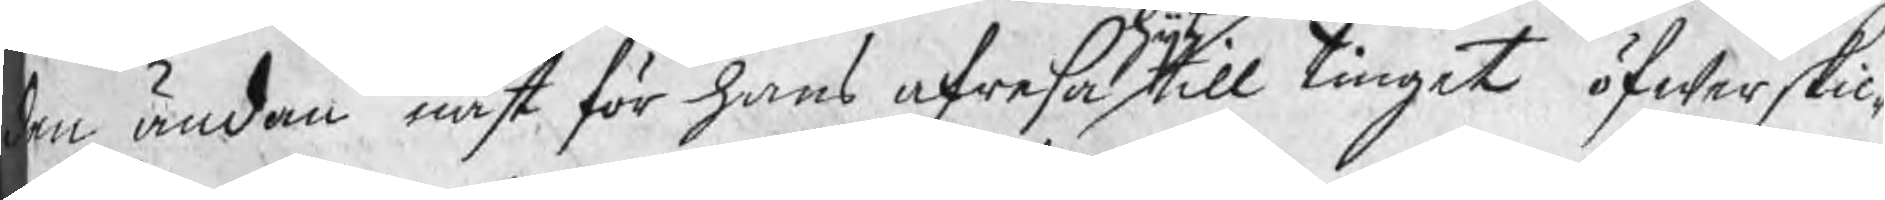den ändan näst för hans afresa hijt till tinget öfwerskic¬
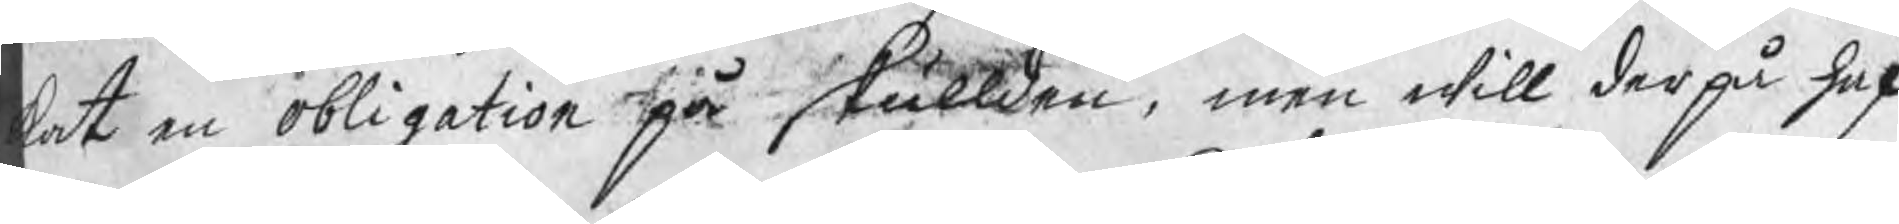kat en obligation på skullden, men will derpå haf¬
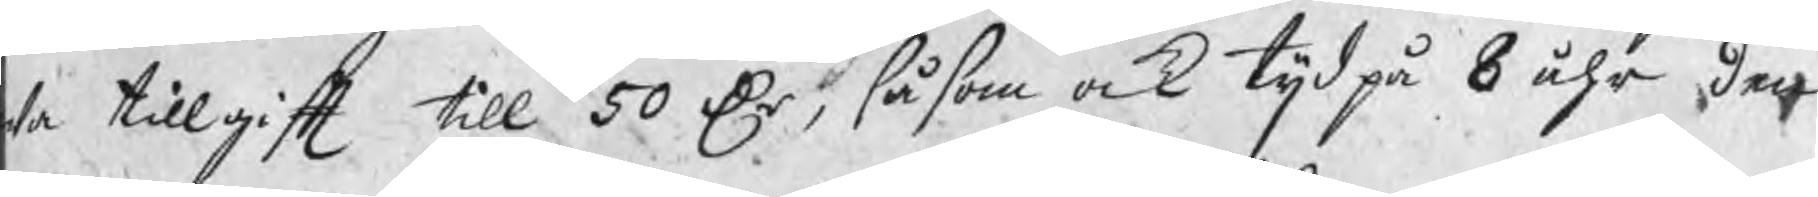wa tillgift till 50 Dr, såsom ock tijd på 8 åhr, den
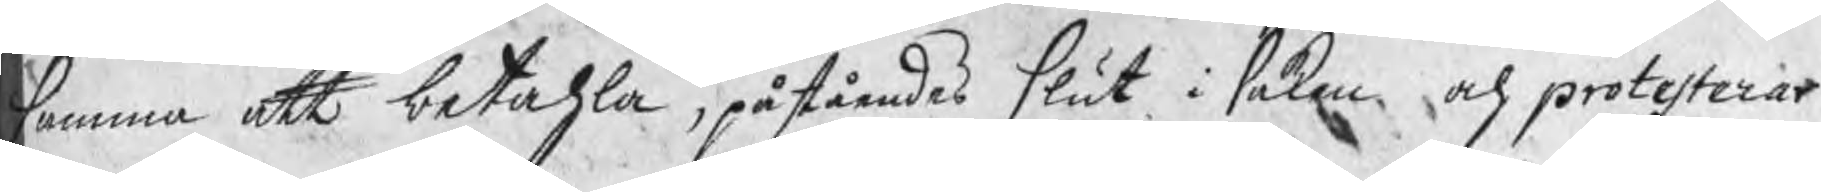summa att betahla, påståendes slut i saken och protesterar
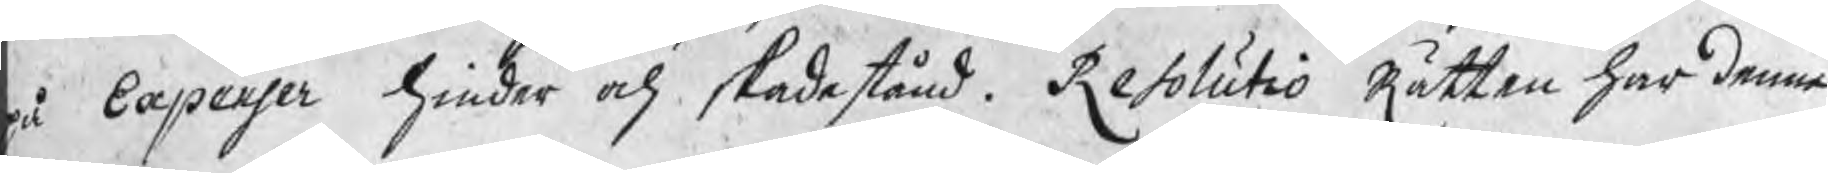på Expenser hinder och skadestånd. Resolutio Rätten har denna
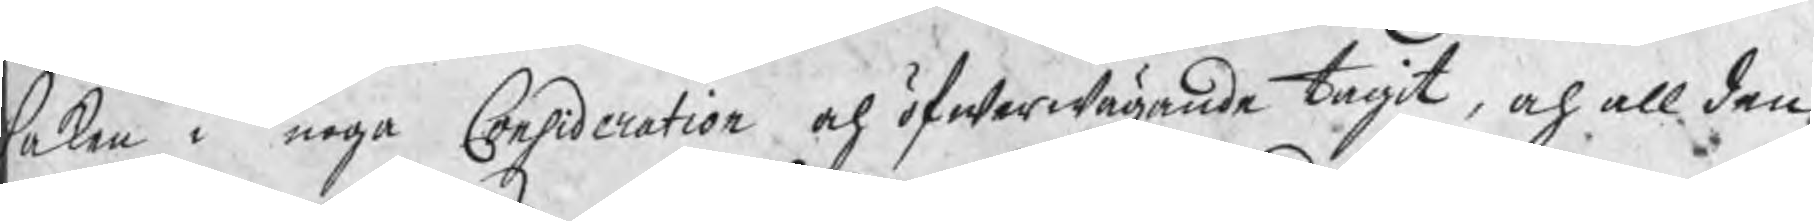saken i noga Consideration och öfwerwägande tagit, och all den
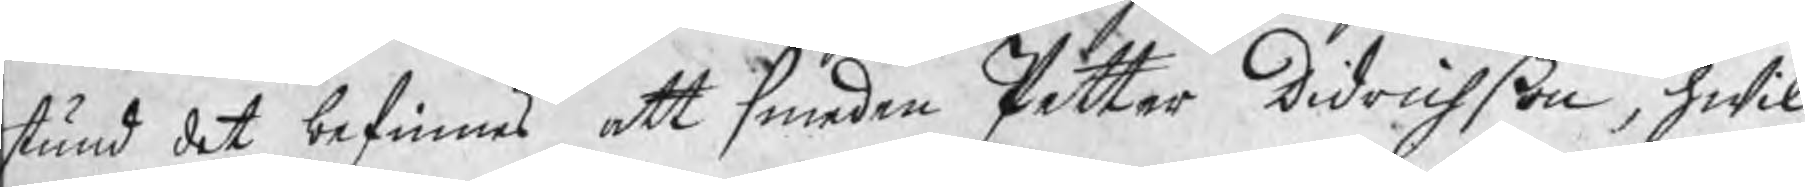stund det befinnes att Smeden Petter Didrichßon, hwil¬
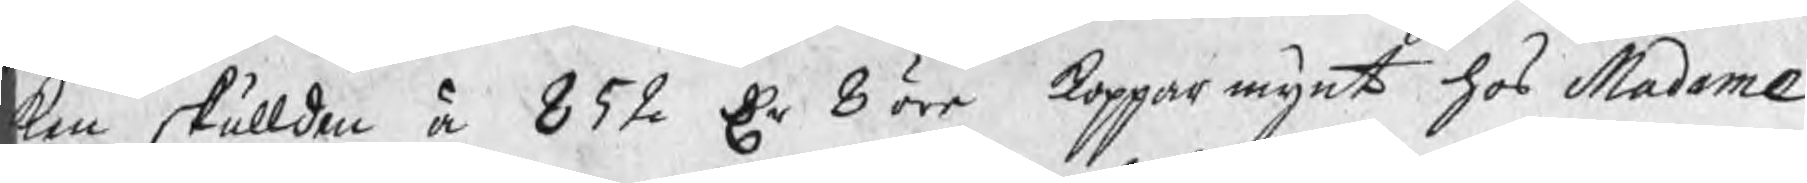ken skullden å 852 Dr 8 öre kopparmynt hos Madame
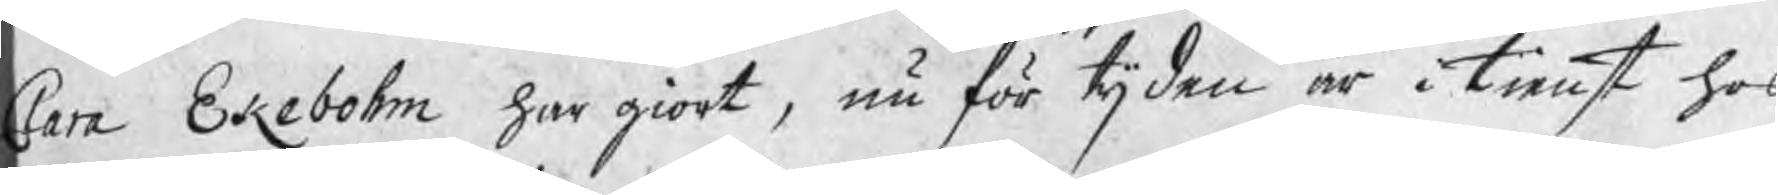Clara Ekebohm har giort, nu för tijden är i tienst hos
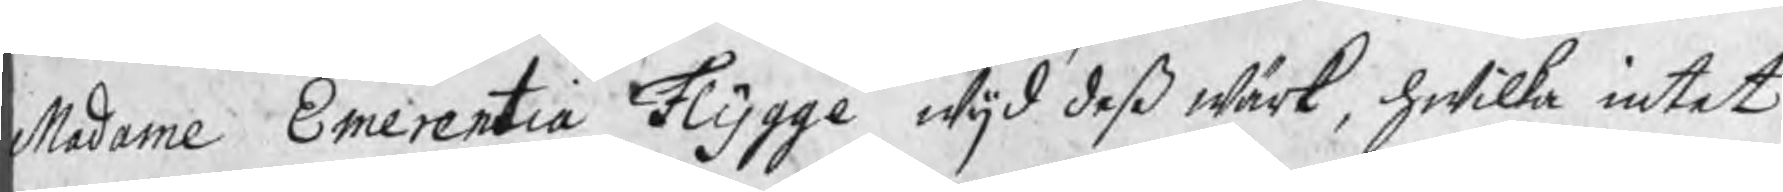Madame Emerentia Flygge wijd deß wärk, hwilka intet
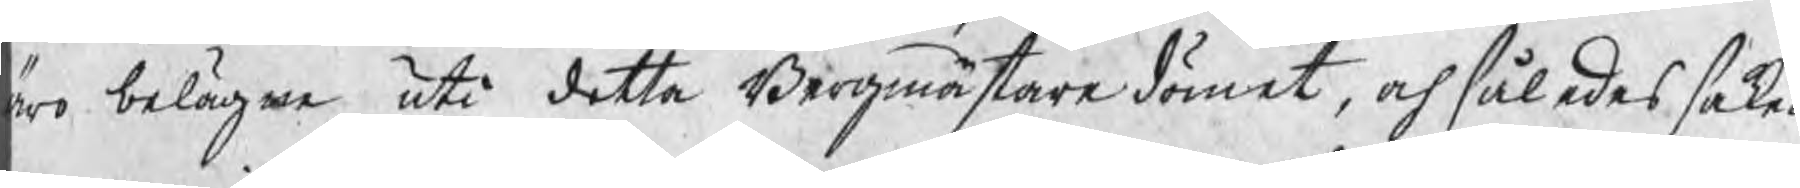äro belägne uti detta Bergmästaredömet, och således saken
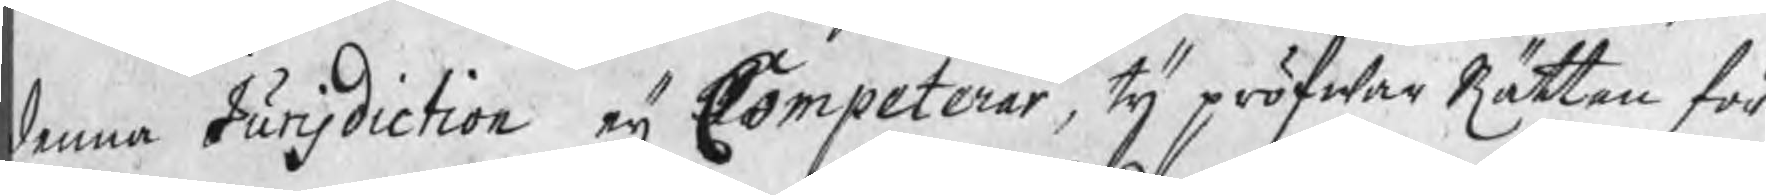denna Jurisdiction eij Competerar, ty pröfwar Rätten för
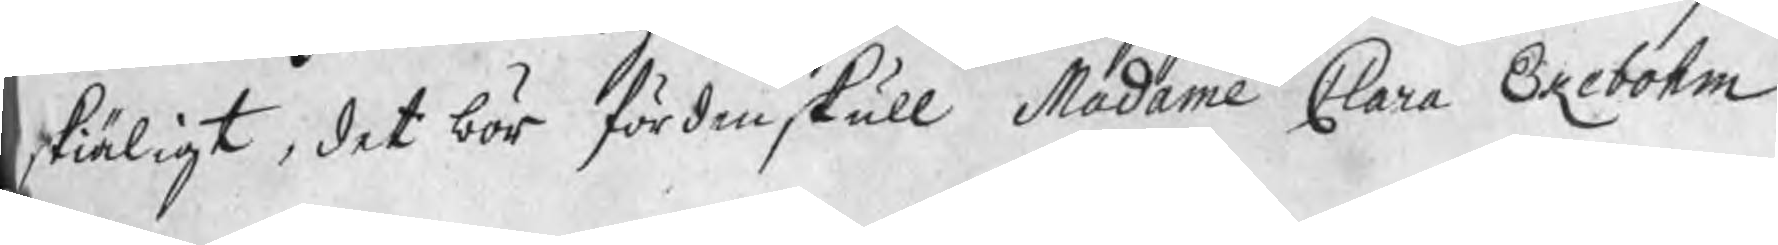skiäligt, det bör fördenskull Madame Clara Ekebohm
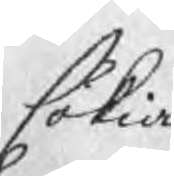sökia
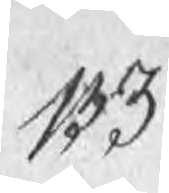133
